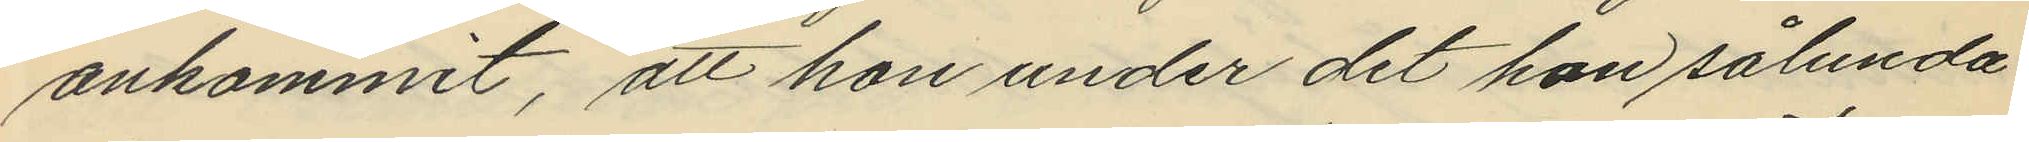ankommit, att hon under det hon sålunda
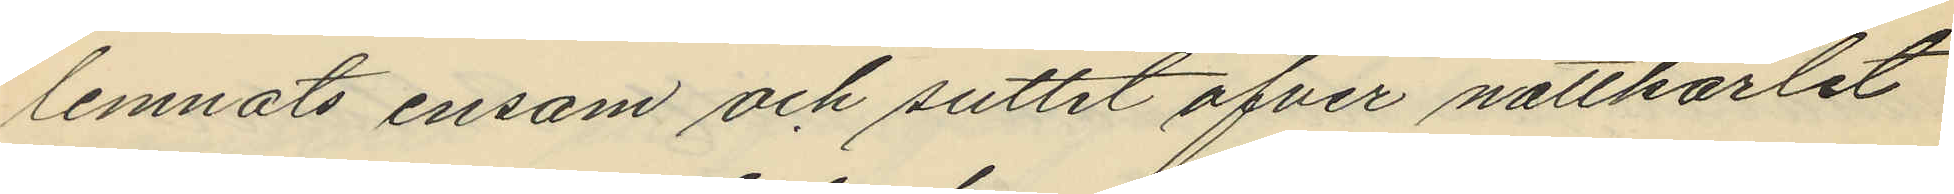lemnats ensam och suttit öfver nattkärlet
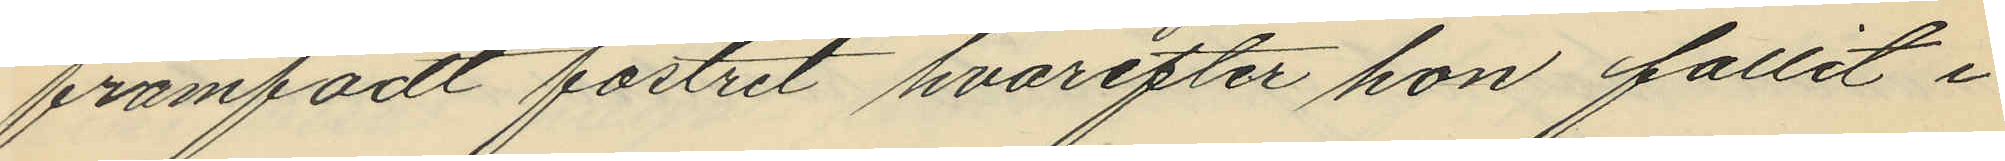framfödt fostret hvarefter hon fallit i
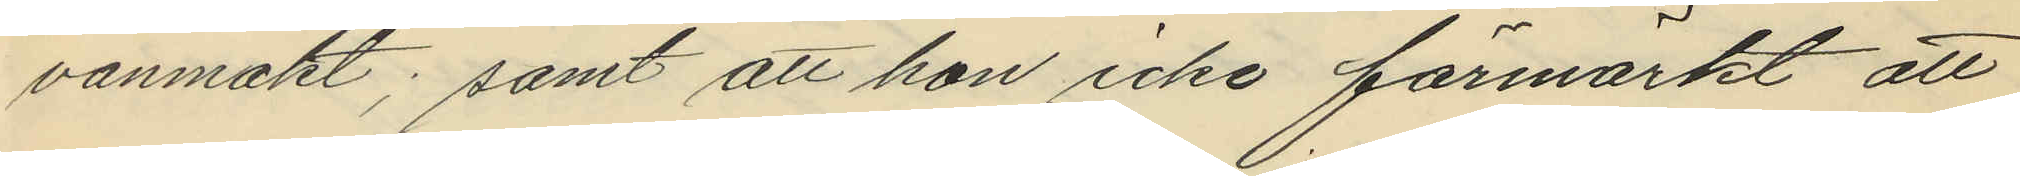vanmakt; samt att hon icke förmärkt att
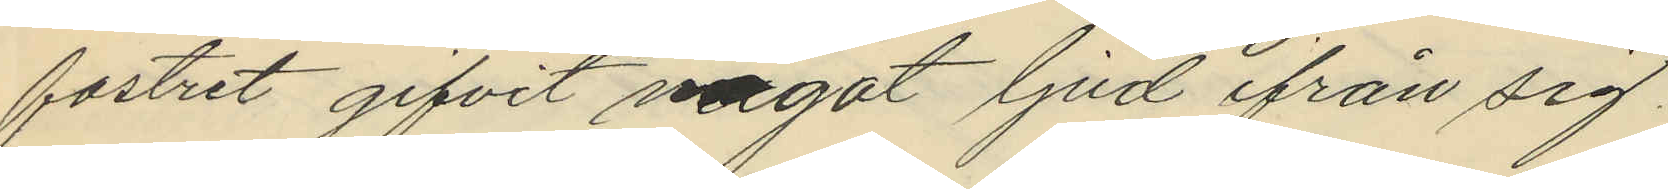fostret gifvit något ljud ifrån sig.
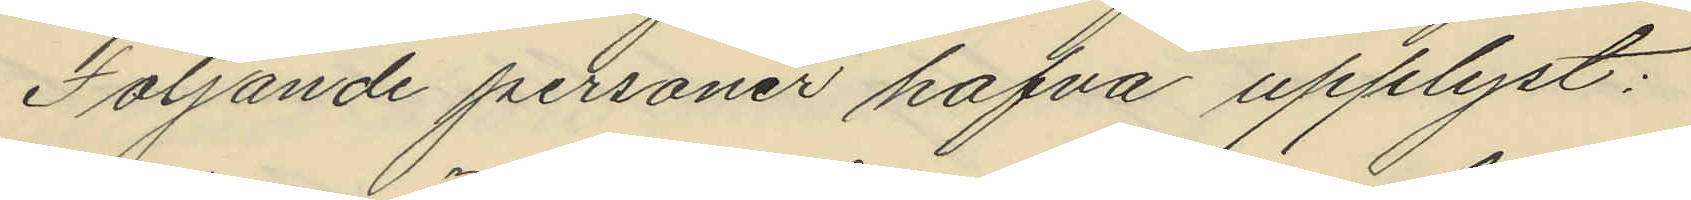Följande personer hafva upplyst:
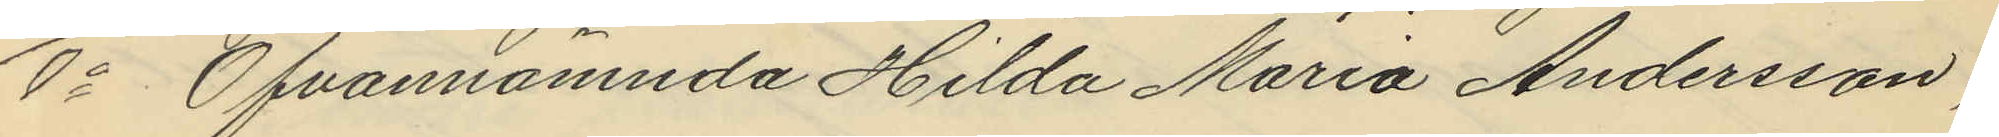1o Ofvannämnda Hilda Maria Andersson,
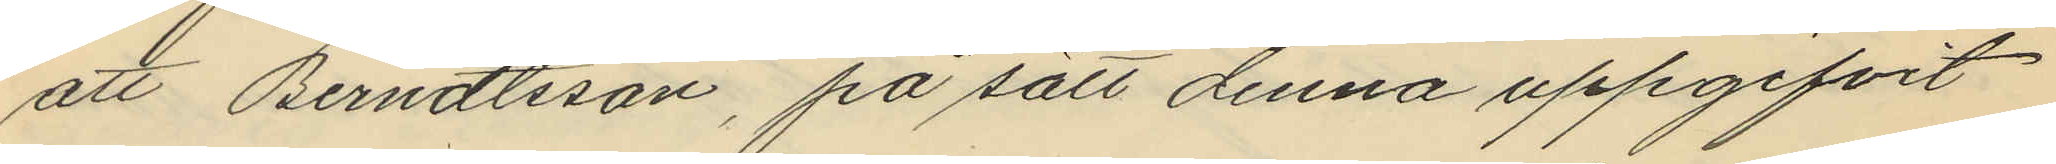att Berndtsson, på sätt denna uppgifvit
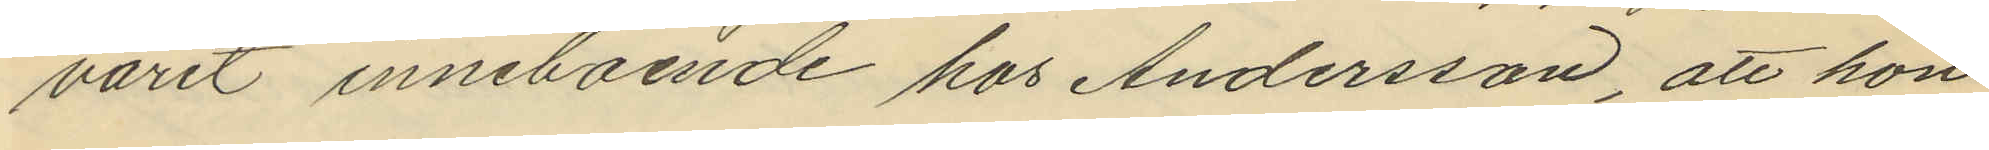varit inneboende hos Andersson, att hon
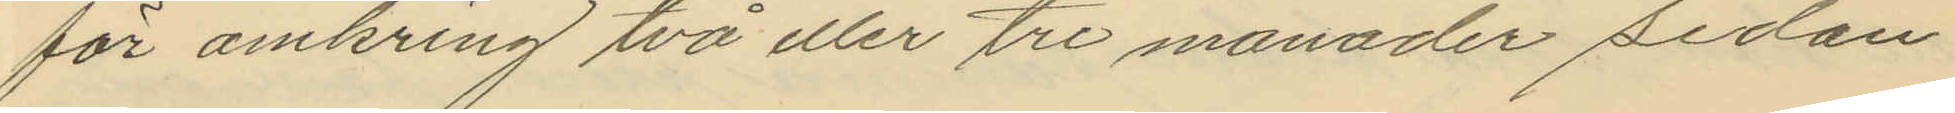för omkring två eller tre månader sedan
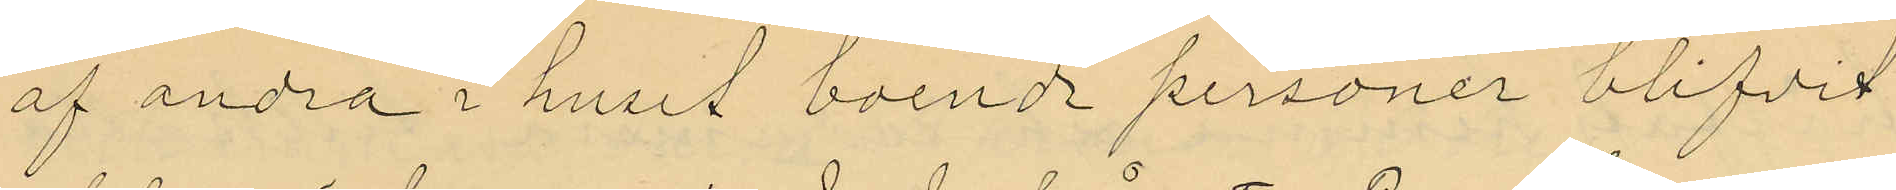af andra i huset boende personer blifvit
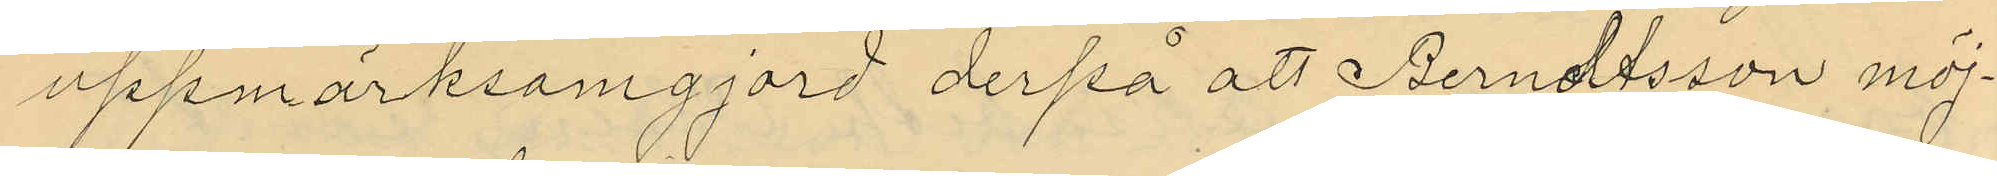uppmärksamgjord derpå att Berndtsson möj¬
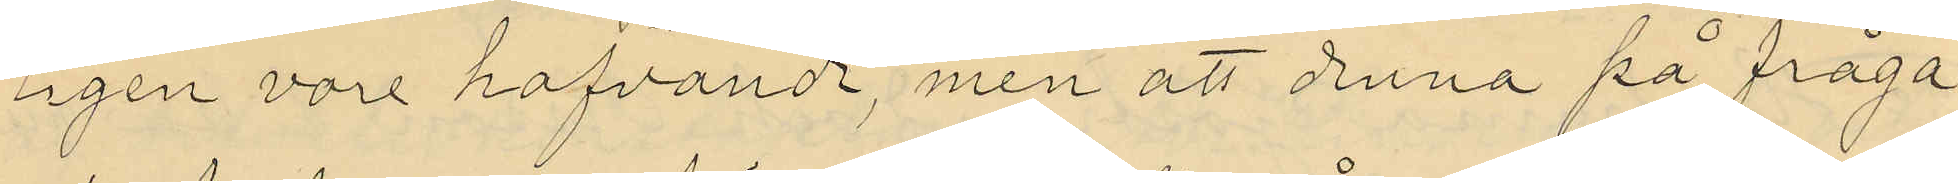ligen vore hafvande, men att denna på fråga
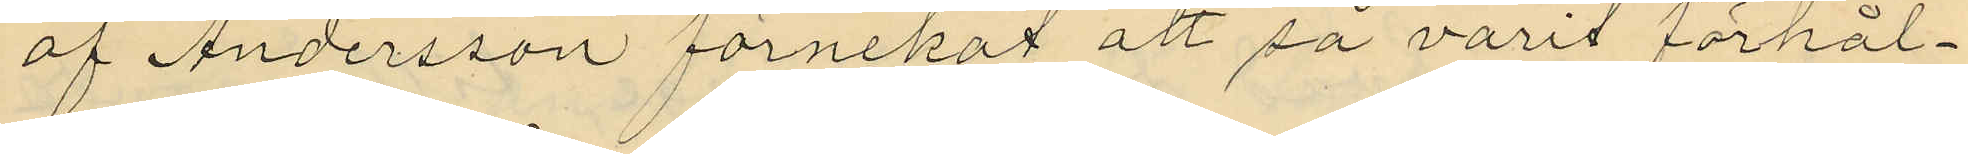af Andersson förnekat att så varit förhål¬
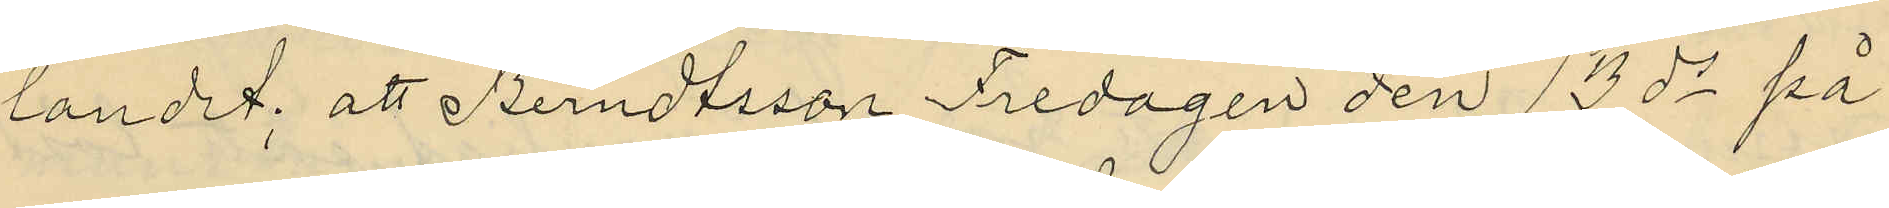landet; att Berndtsson Fredagen den 13 ds på
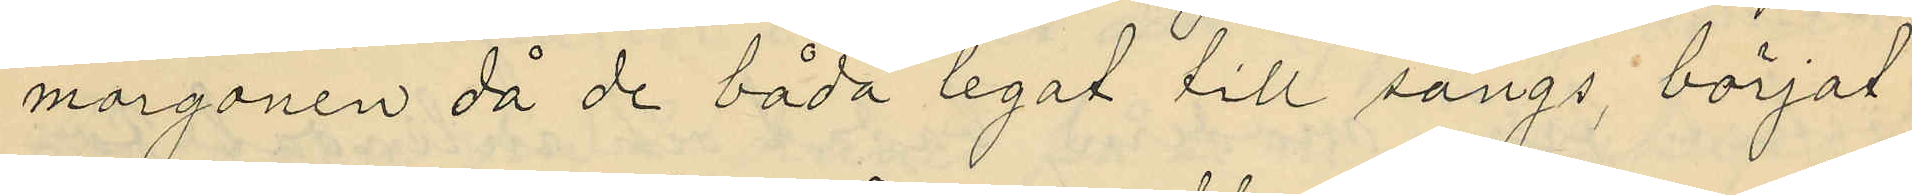morgonen då de båda legat till sängs, börjat
